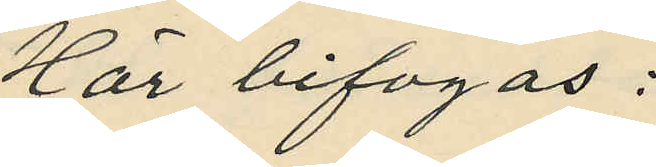Här bifogas:
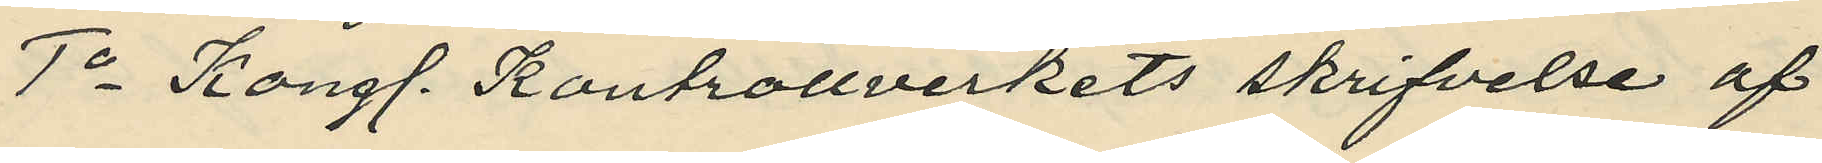1o Kongl. Kontrollverkets skrifvelse af
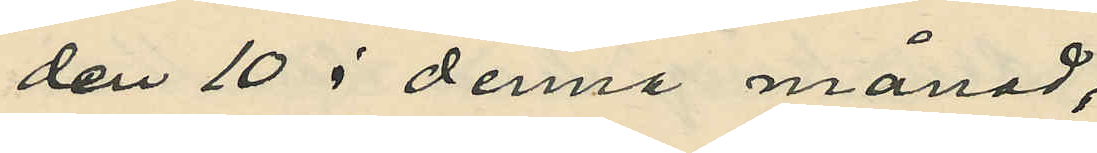den 10 i denne månad,
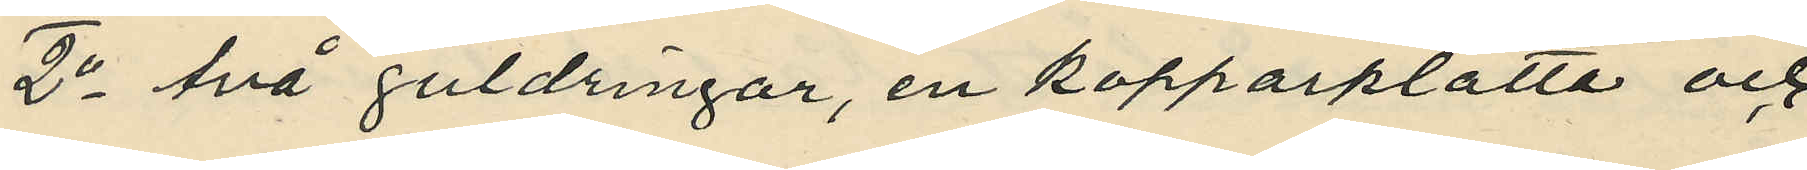2o två guldringar, en kopparplatta och
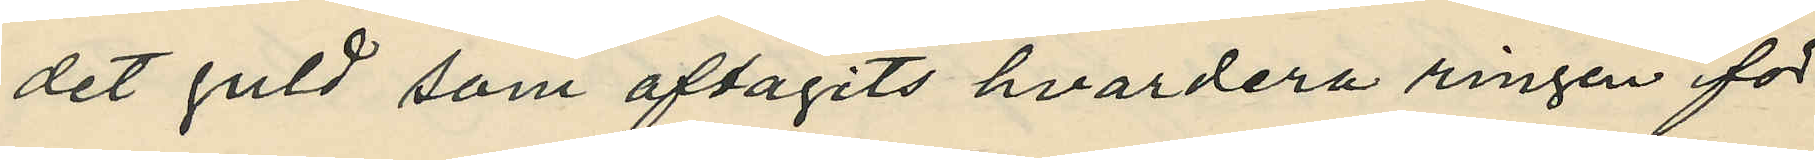det guld som aftagits hvardera ringen för
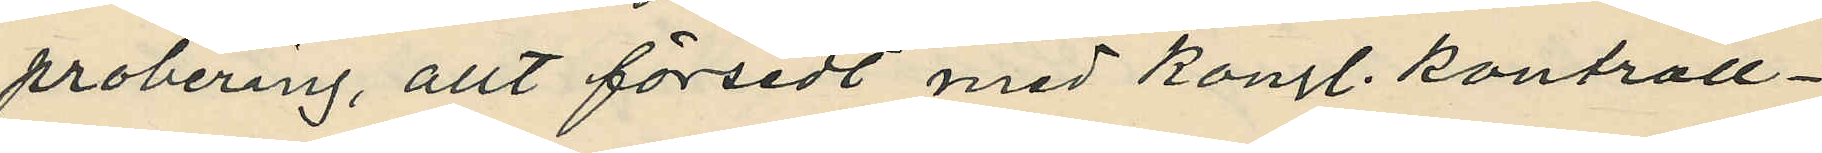probering, allt försedt med Kongl. Kontroll¬
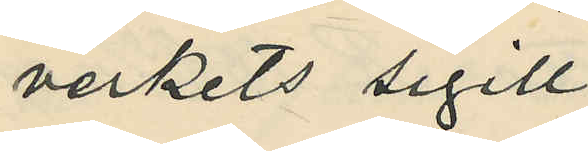verkets sigill,
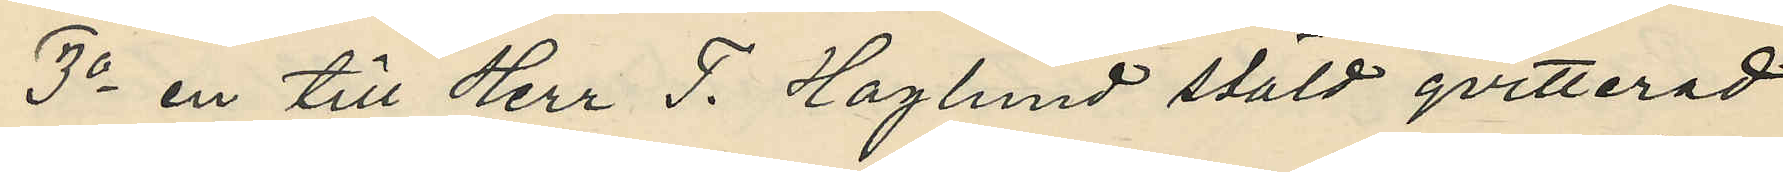3o en till Herr F. Haglund stäld qvitterad
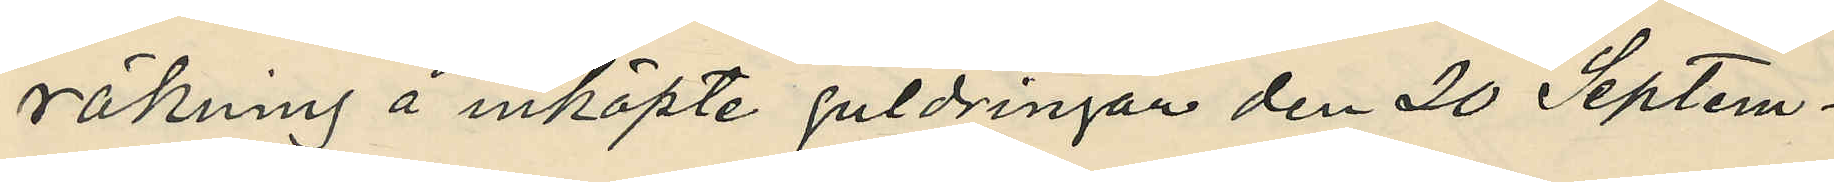räkning å inköpte guldringar den 20 Septem¬
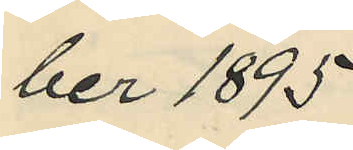ber 1895.
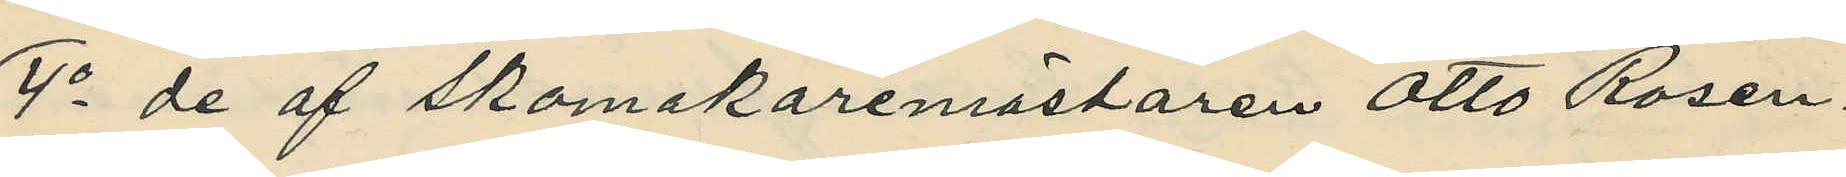4o de af skomakaremästaren Otto Rosen¬
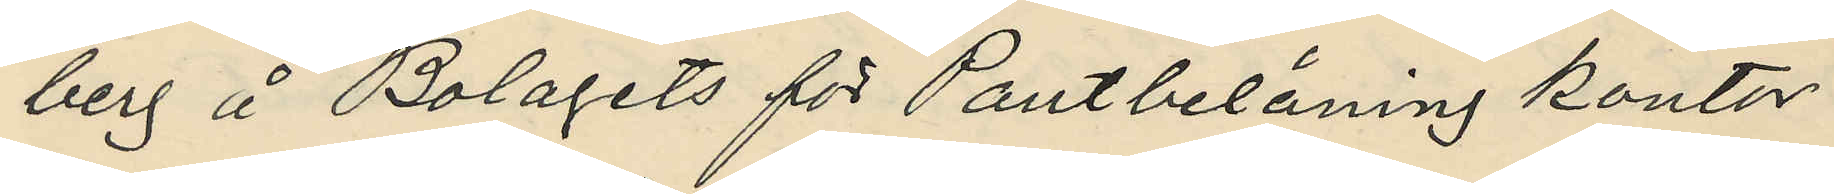berg å Bolagets för Pantbelåning kontor
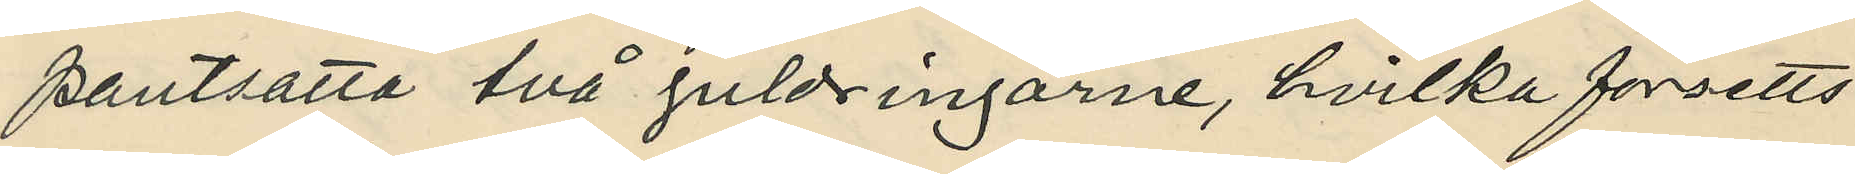pantsatta två guldringarne, hvilka försetts
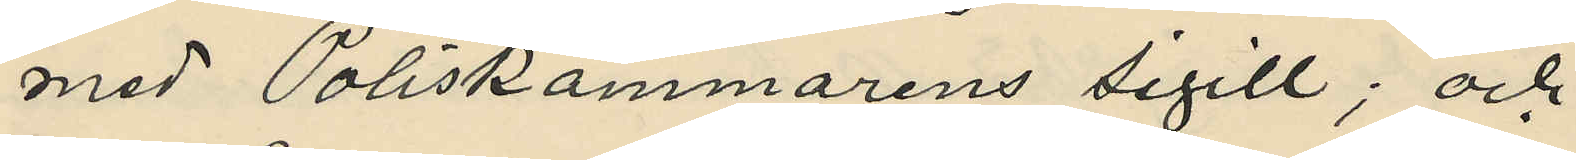med Poliskammarens sigill; och
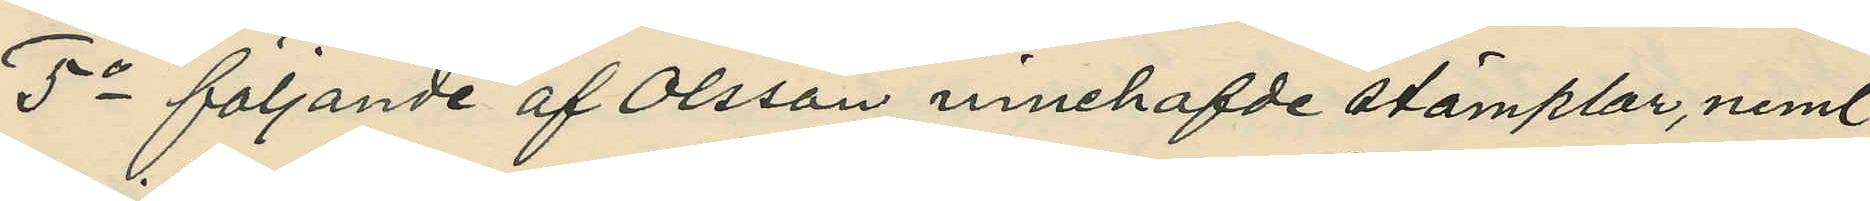5o följande af Olsson innehafde stämplar, neml.
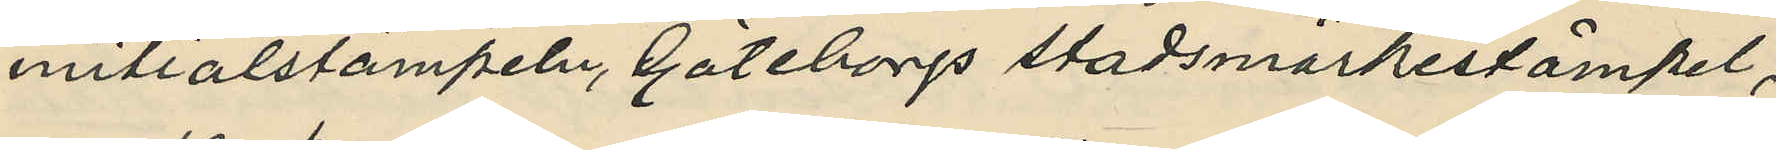initialstämpeln, Göteborgs stadsmärkestämpel,
